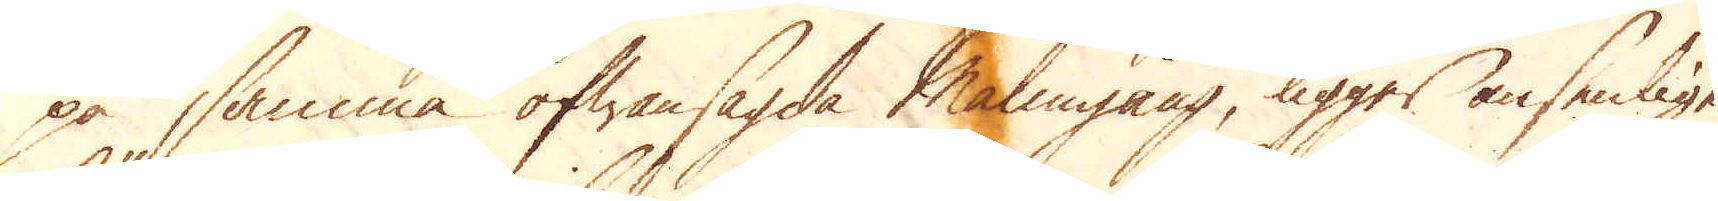på samma ofwansagda Malmgång, ligger ansenligen
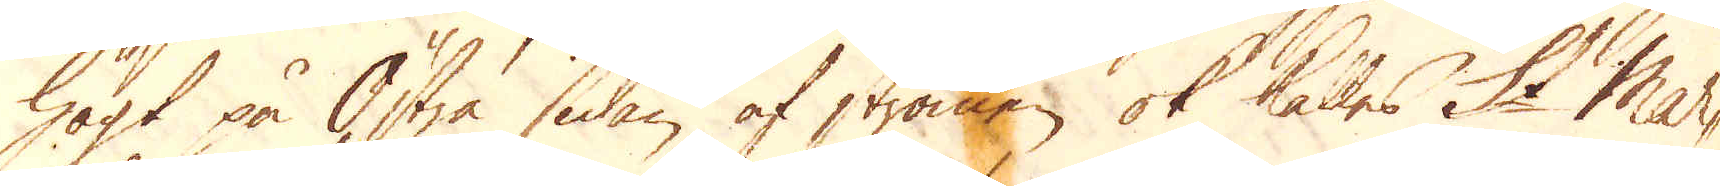högt på Östra sidan af strömen ok kalles St Mar-
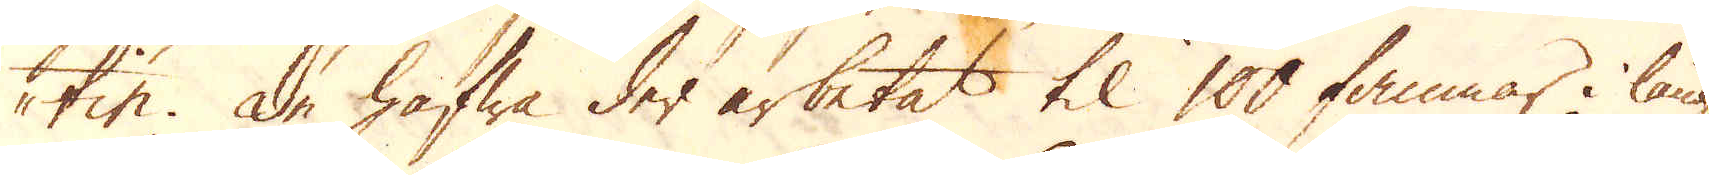tin. De hafwa der arbetat til 100 famnar i läng-
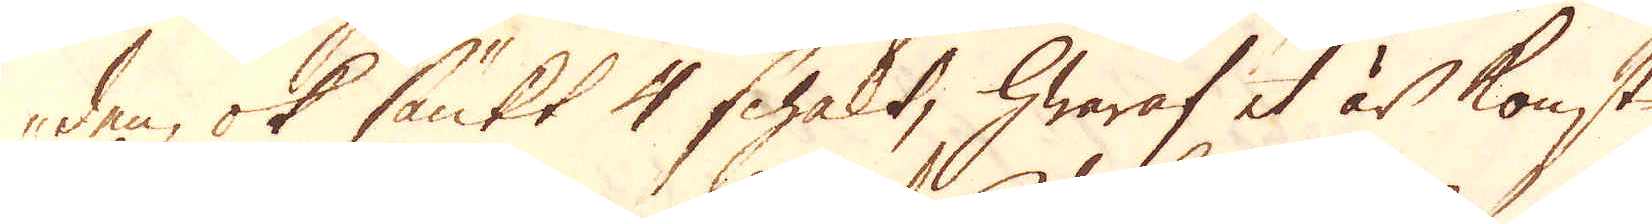den, ok sänkt 4 schakt, hwaraf et är konst
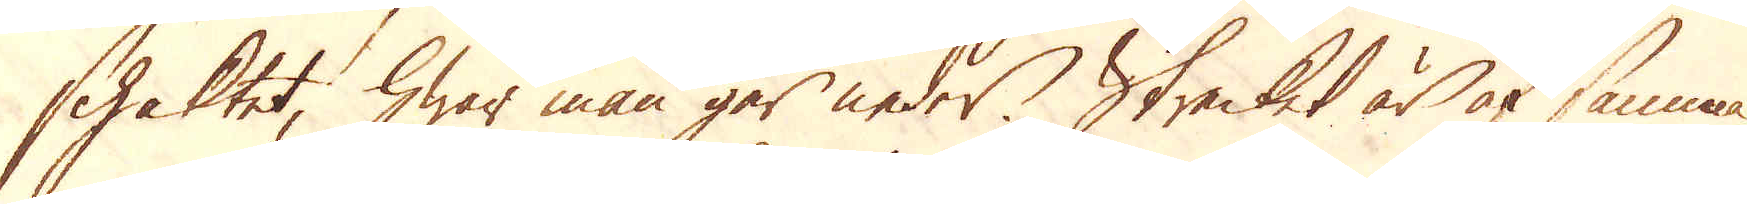schaktet, hwar man går neder. Strecket är af samma
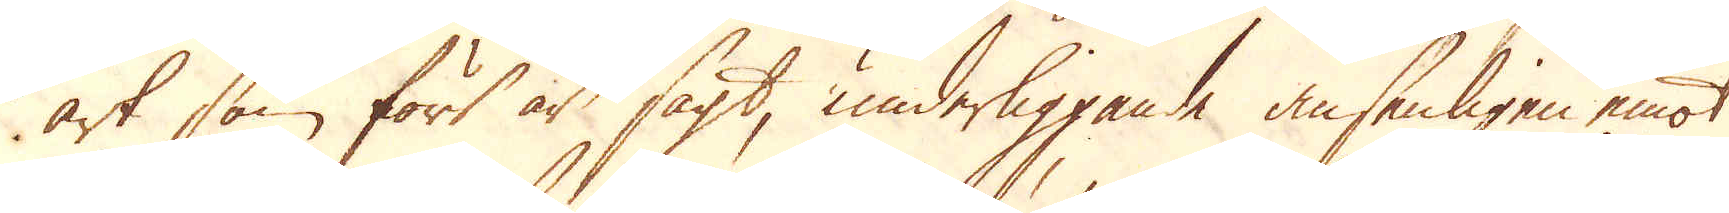art som fört är sagt, underliggande ansenligen emot
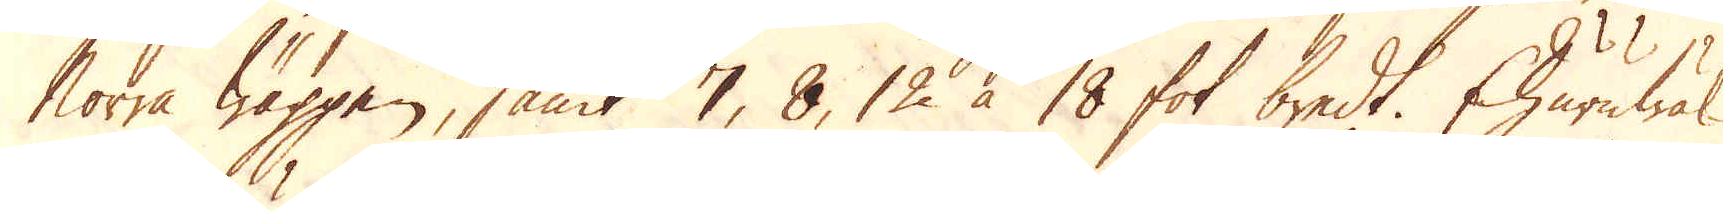Norra Wäggen, samt 7, 8, 12 à 18 fot bredt. Ehuruwäl
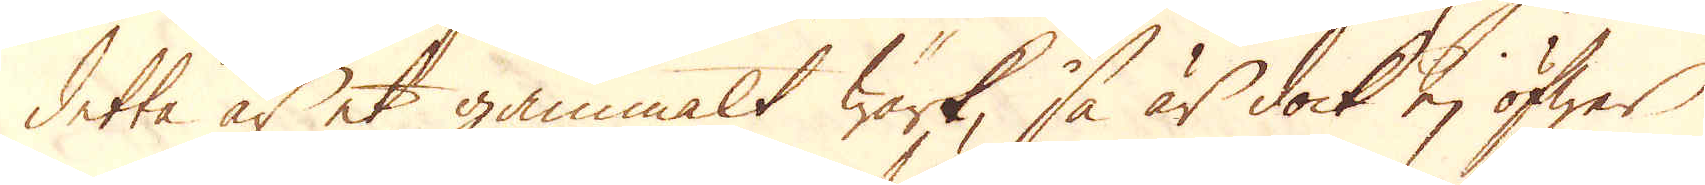detta är et gammalt wärk, så är dock ej öfwer
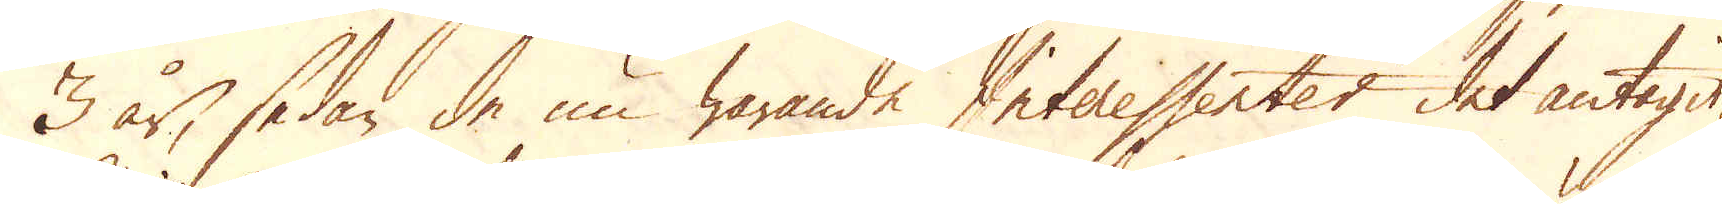3 år, sedan de nu warande Interessenter det antagit,
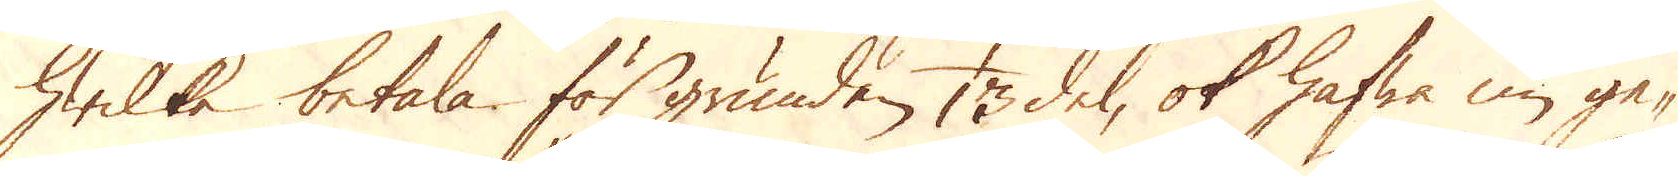hwilka betala för grunden, 1/13 del, ok hafwa nu ge-
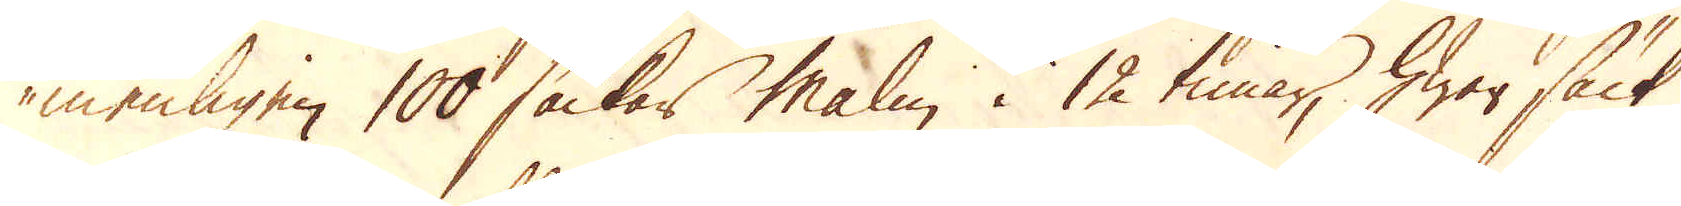menligen 100 säckar malm i 12 timar, hwar säck
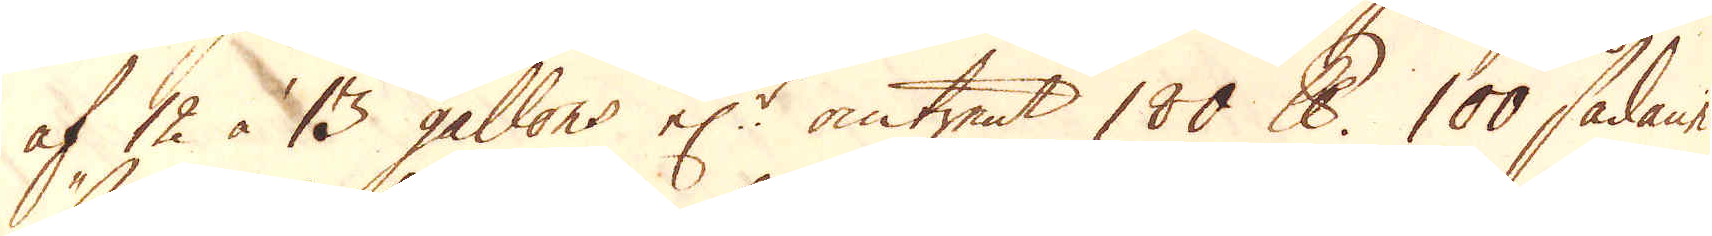af 12 à 13 gallons el:r omtrent 180 skålpund 100 sådane
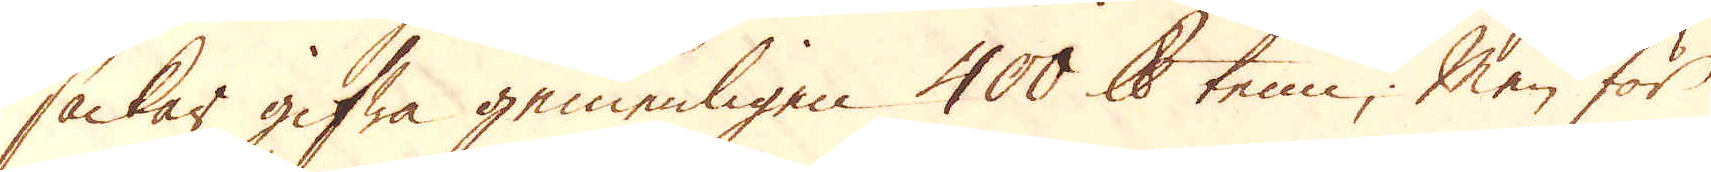säckar gifwa gemenligen 400 skålpund tenn. Men för
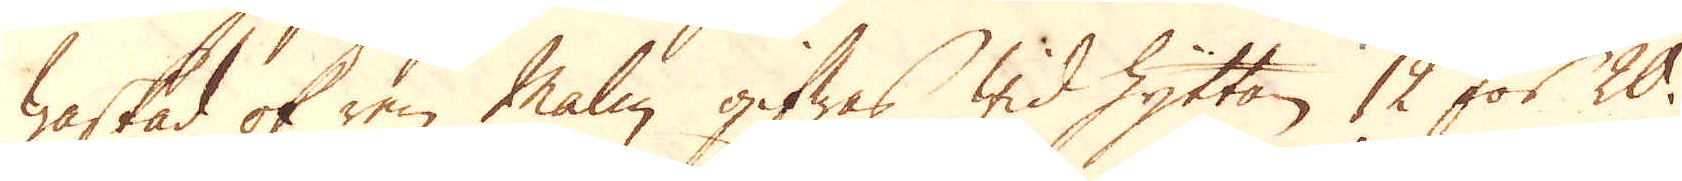waskad ok ren Malm gifwas wid Hyttan 12 för 20.
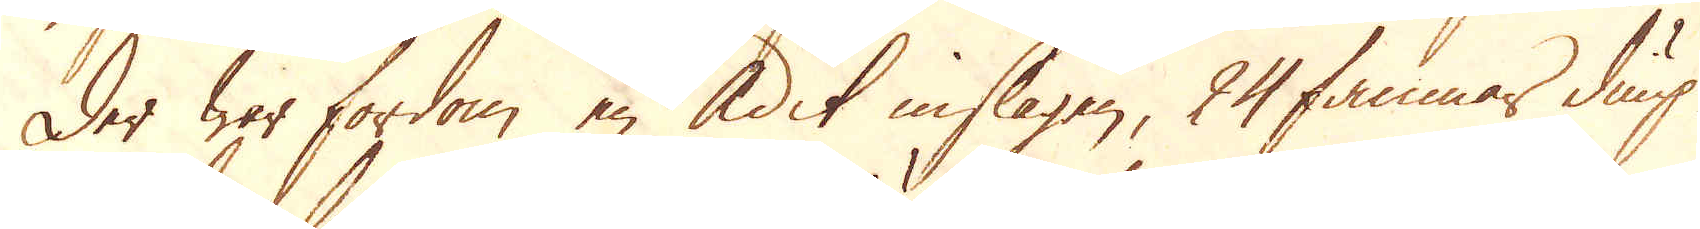Der war fordom en Adit inslagen, 24 famnar diup
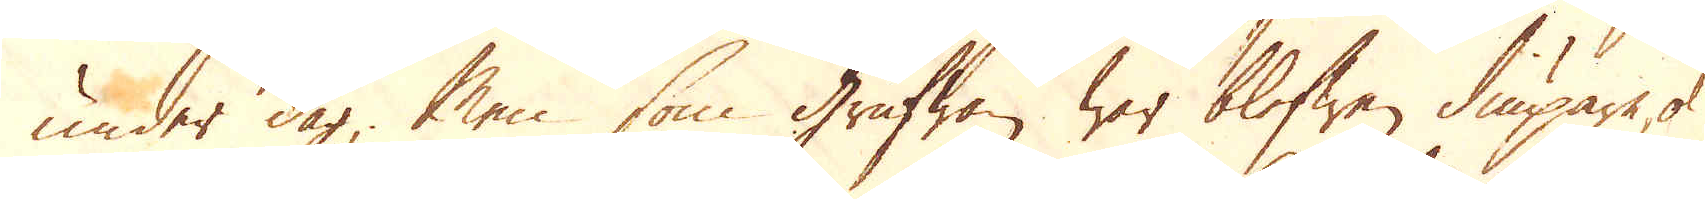under dag; Men som Grufwan war blefwen diupare, ok
